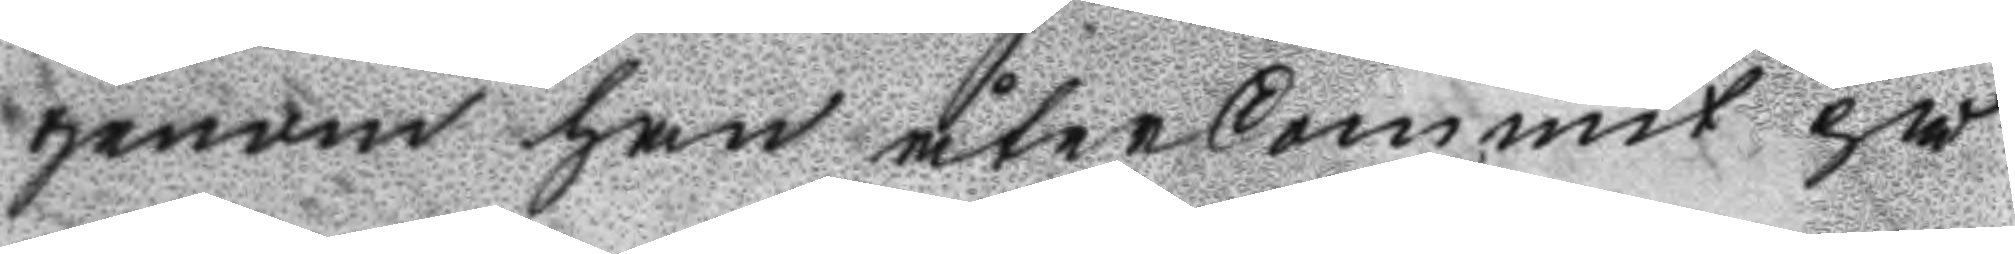genom han återkommit på
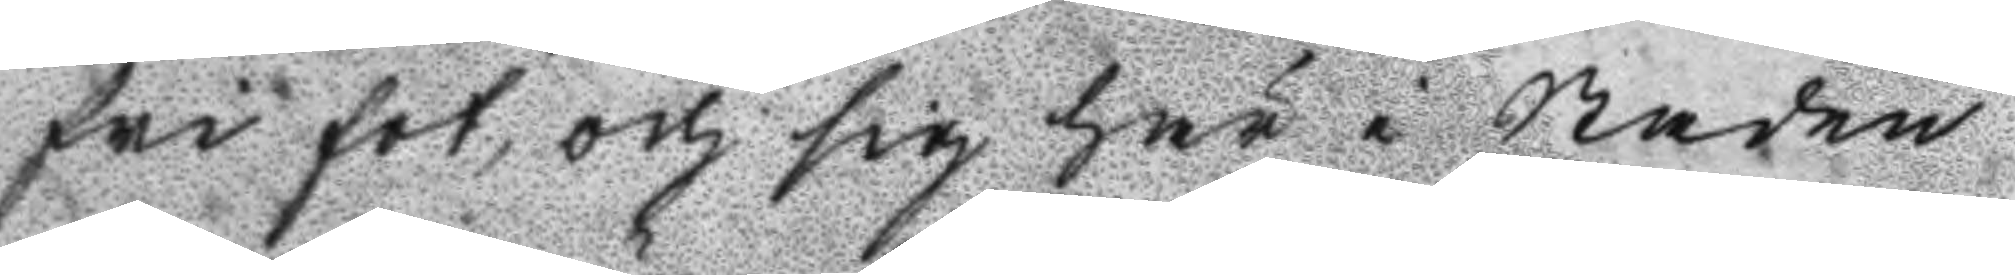fri fot, och sig här i Staden
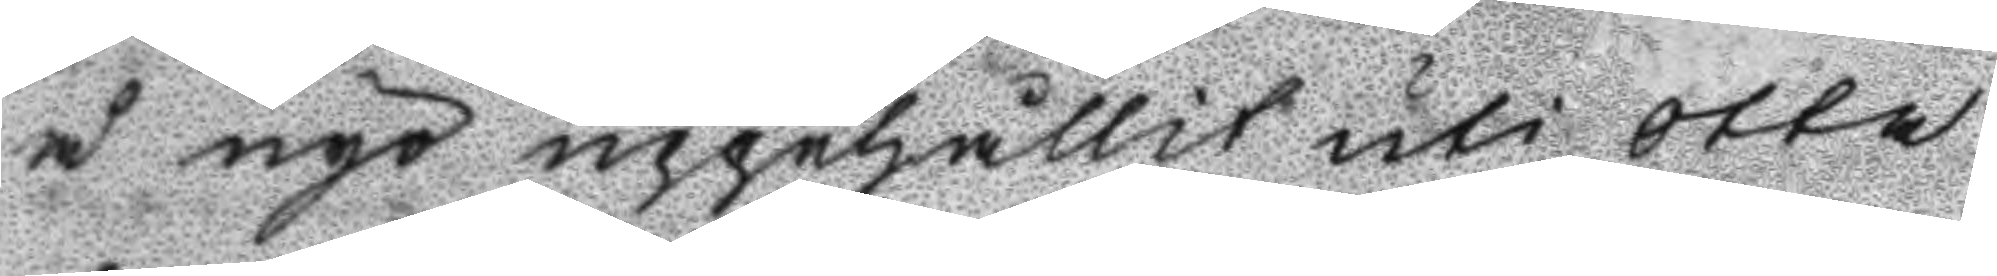å nyo uppehållit uti otta
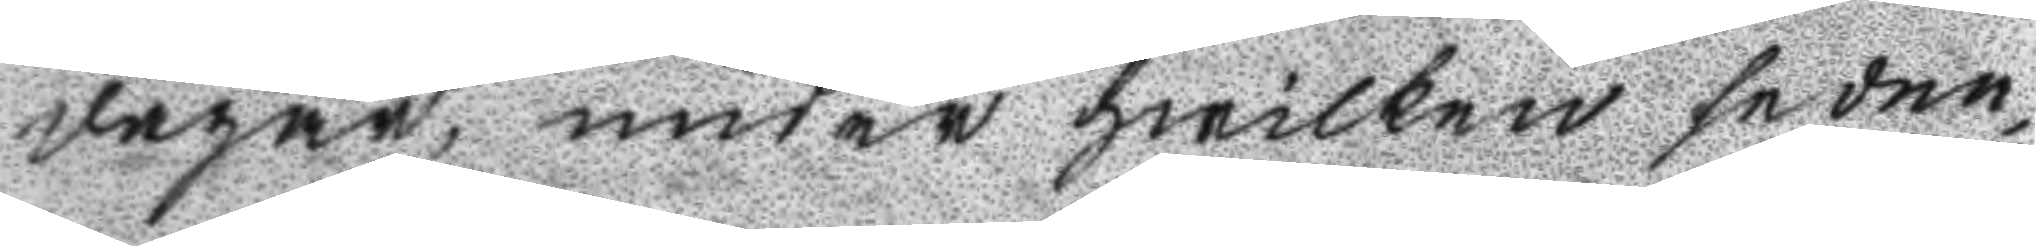dagar, under hwilken sedne¬
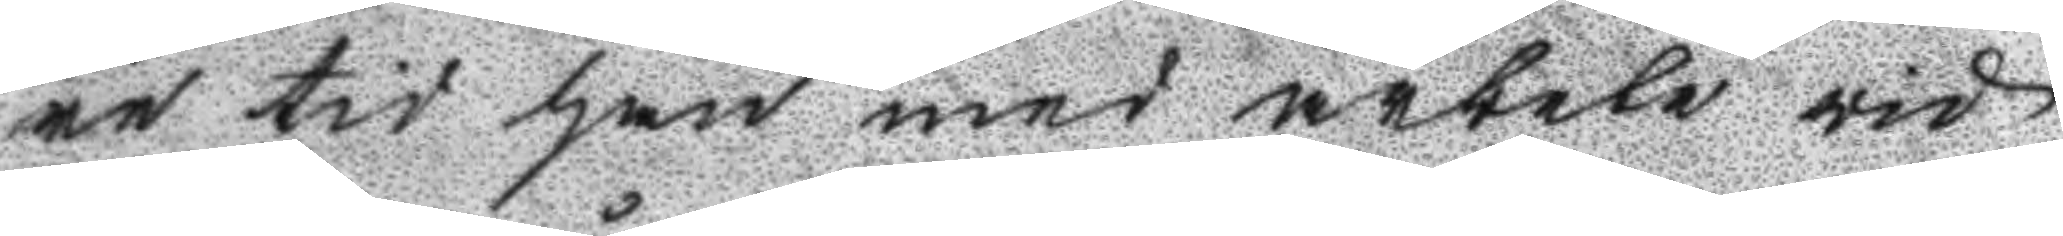re tid han med arbete vid
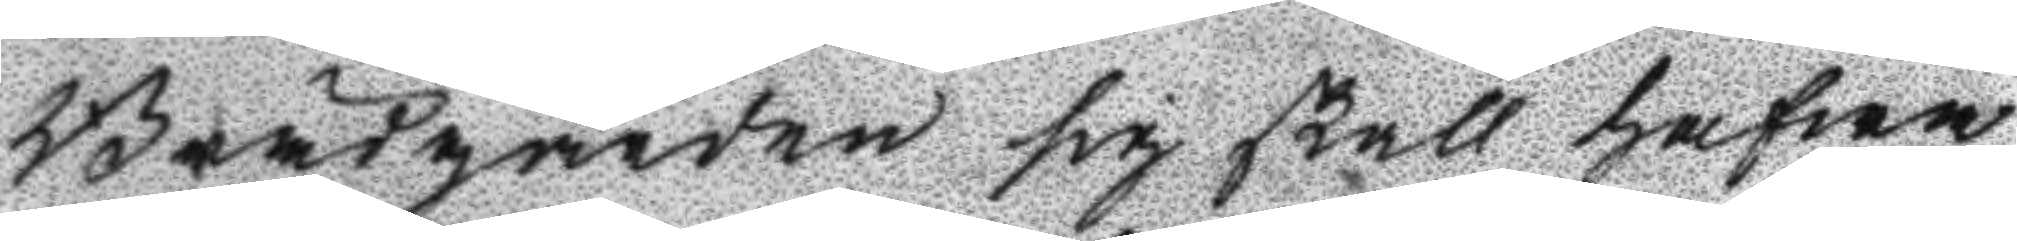Brädgården sig skall hafwa
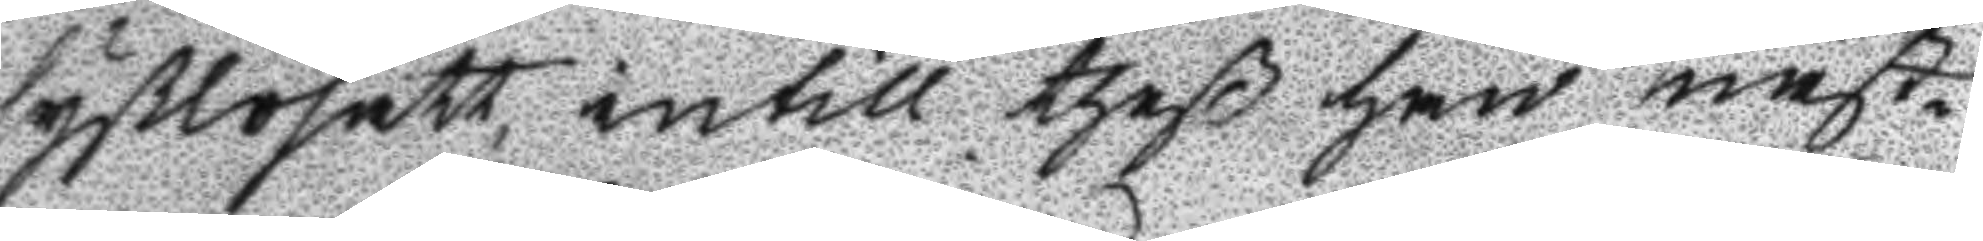syßlosatt, intill theß han näst¬
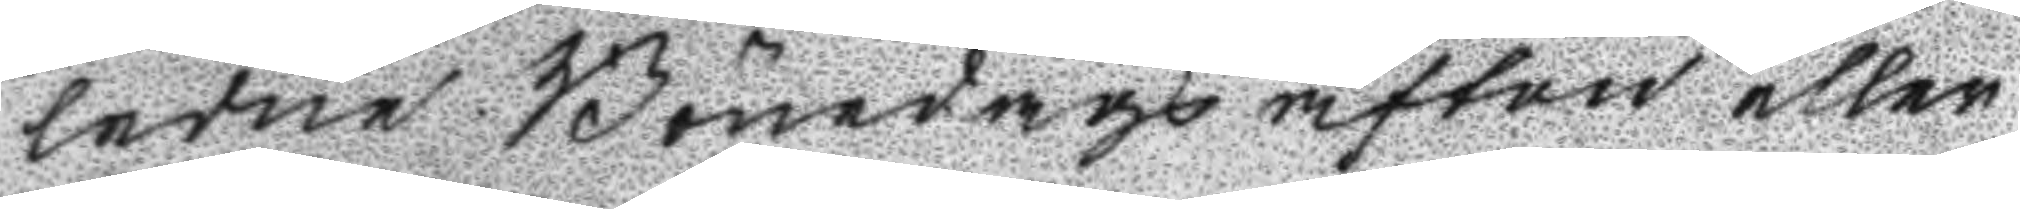ledne Bönedags afton eller
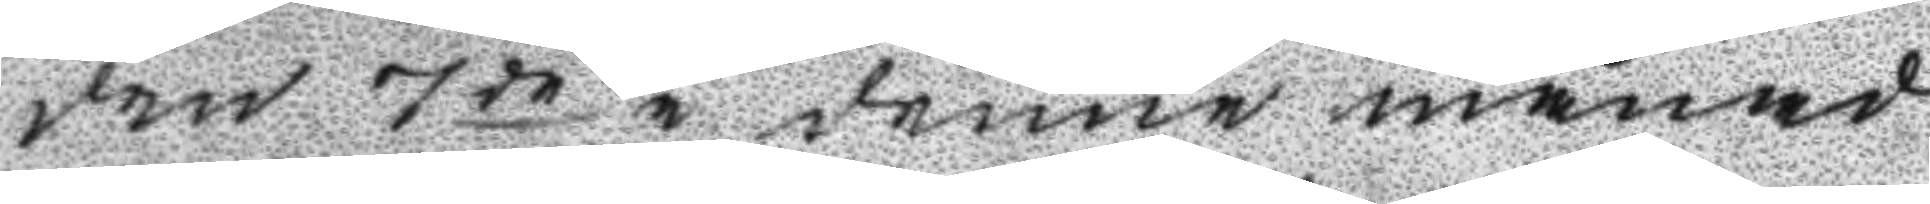den 7de i denne månad
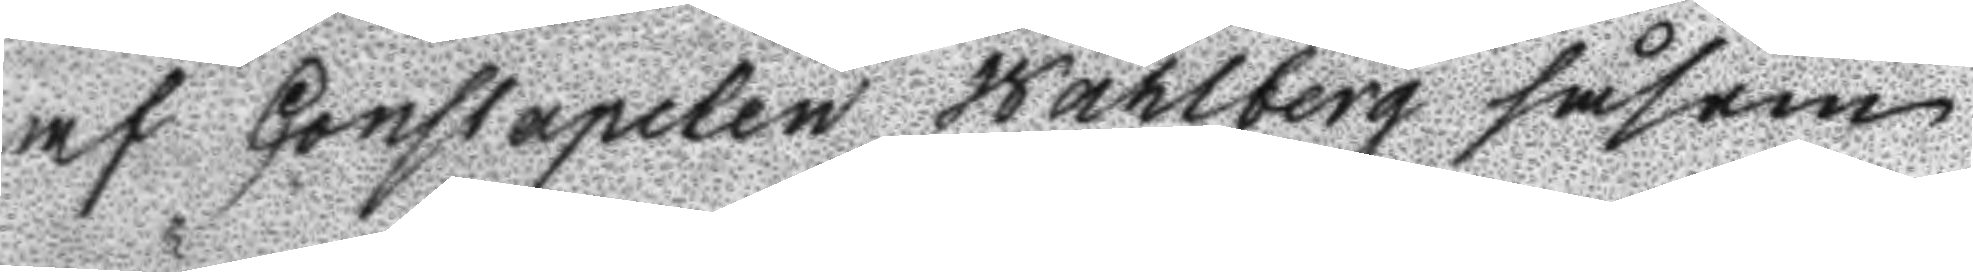af Constapelen Wåhlberg såsom
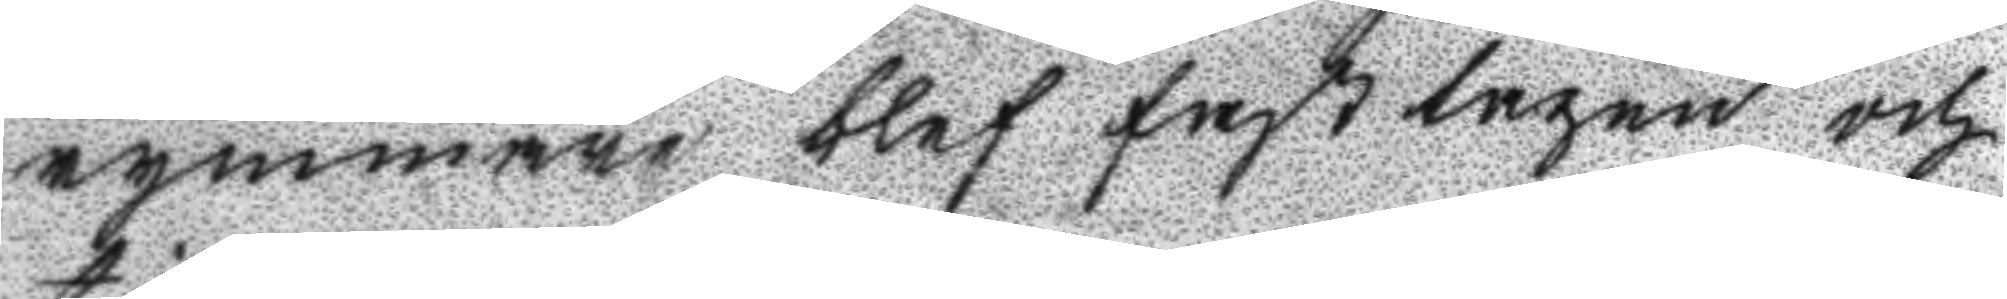rymmare blef fast tagen och
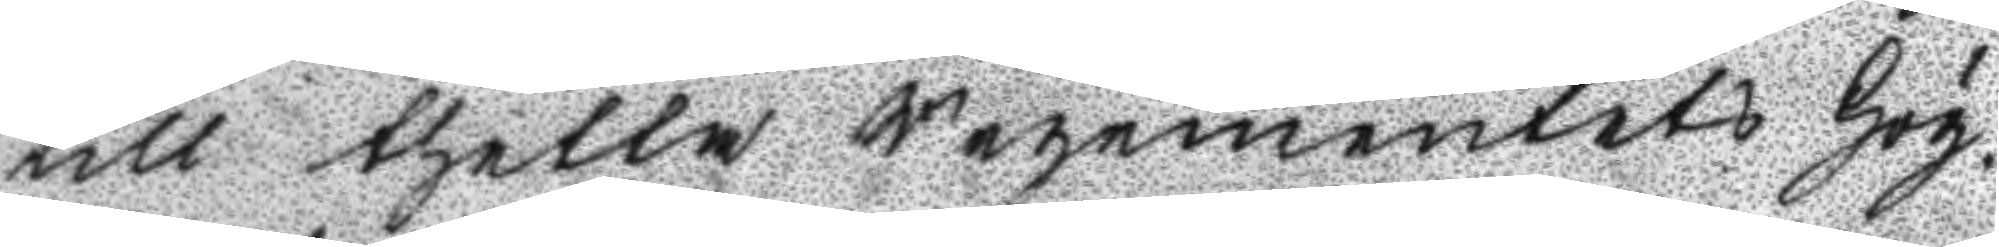till thetta Regementets Hög¬
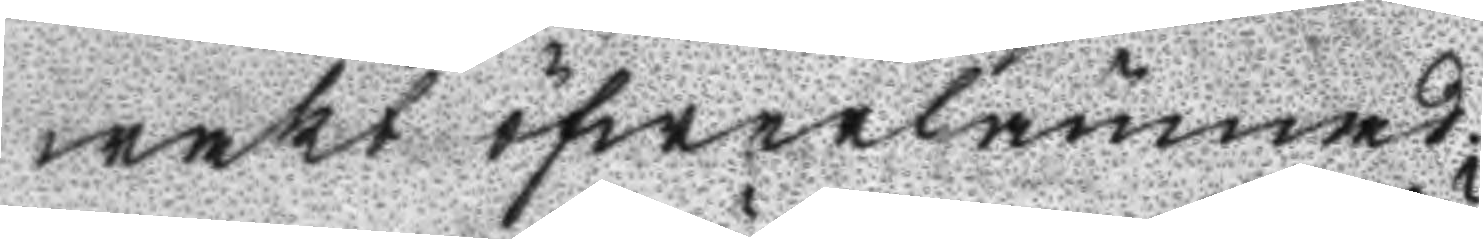wakt öfwerlämnad.
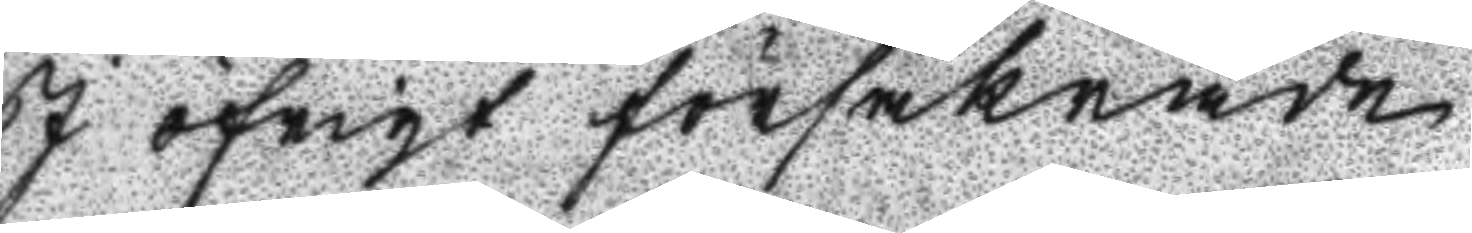I öfrigt försäkrade
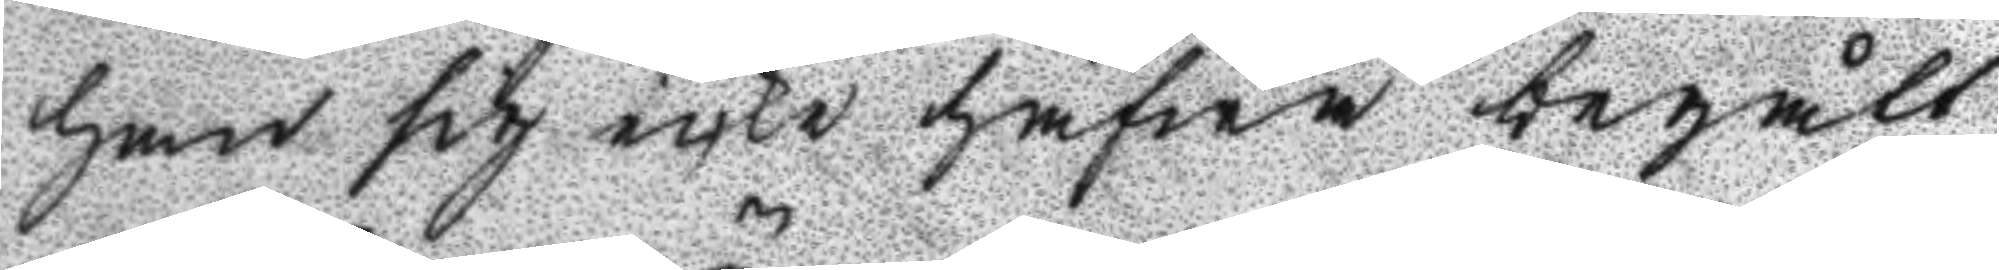han sig icke hafwa begått
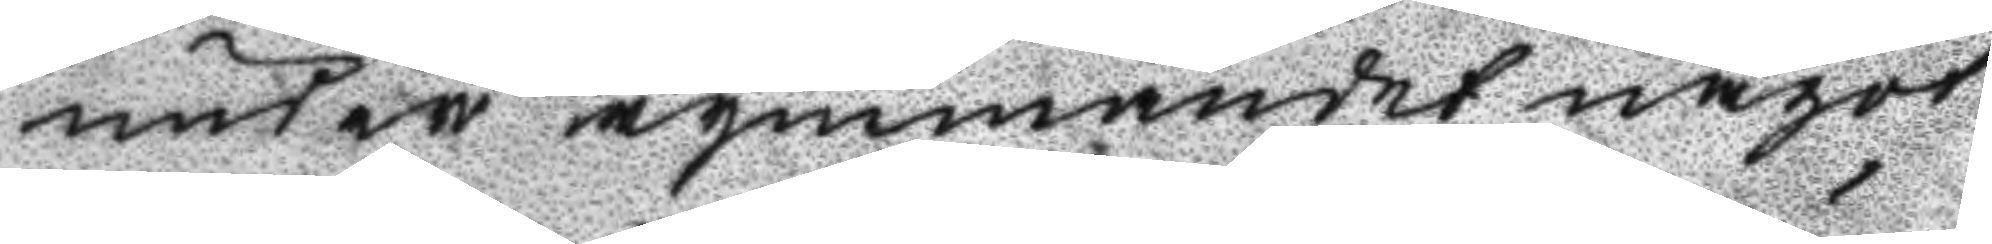under rymmandet något
